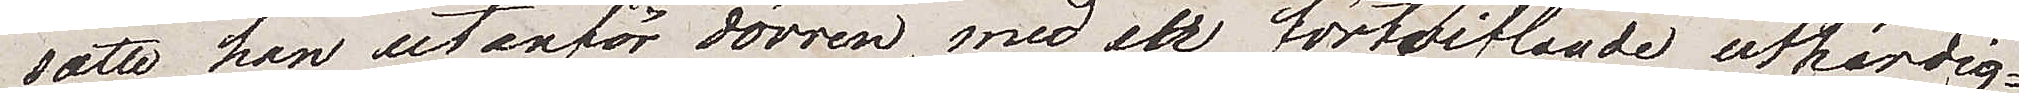satte han utanför dörren, med en förtvivlande uthärdig¬
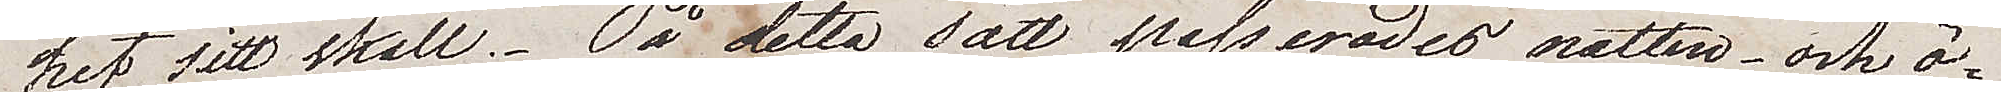het sitt skall. På detta sätt passerades natten och ö¬
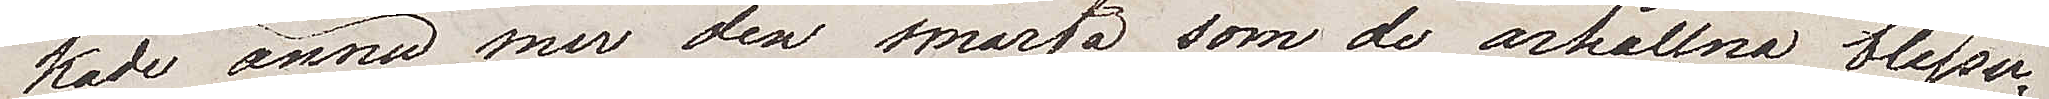kade ännu mer den smärta som de ärhållna blessu¬
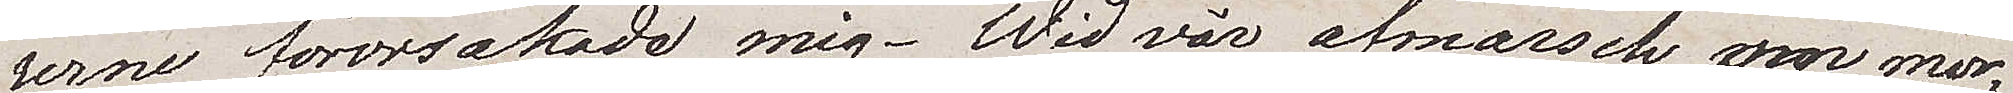rerna förorsakade mig. Wid vår afmarsch om mor¬
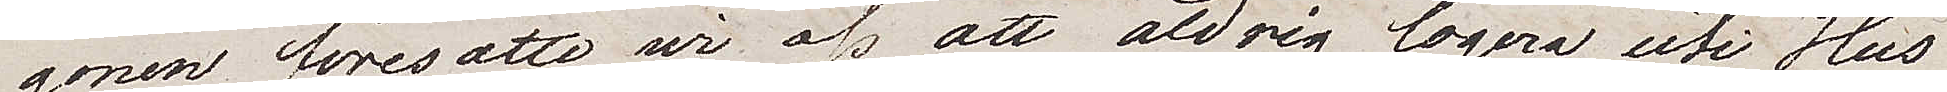gonen föresatte vi oss att aldrig logera uti Hus
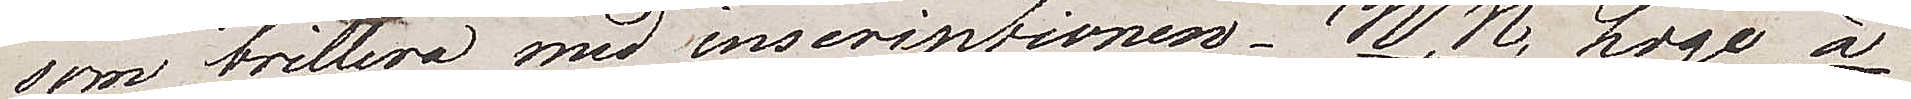som brillera med inskriptionen N.N. Loge à
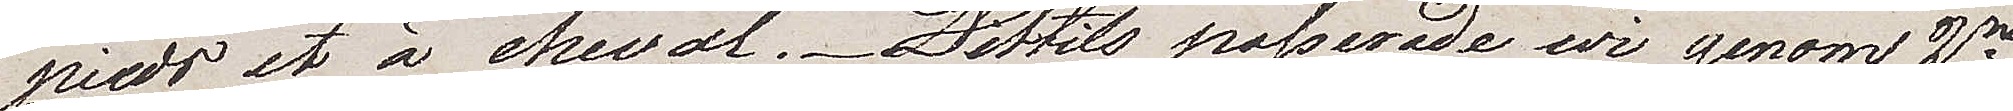pieds et à cheval. Dittills passerade vi genom 2ne
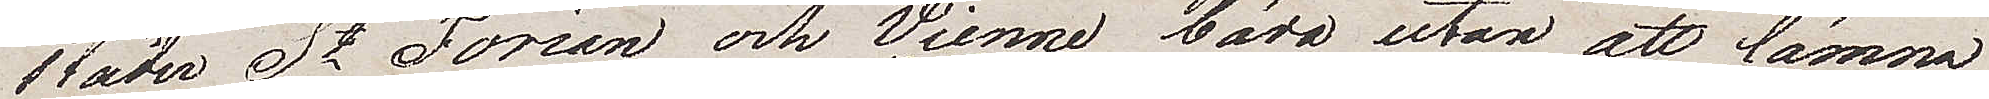städer St Forian, och Vienne båda utan att lämna
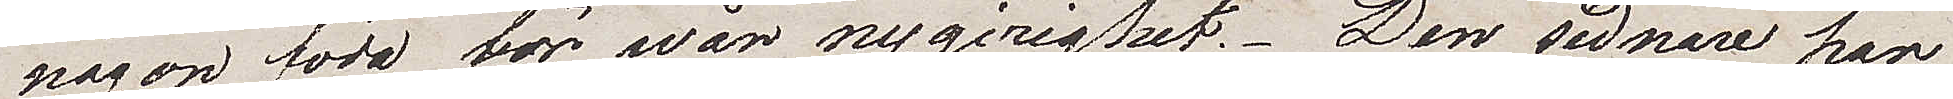någon föda för wår nygirighet. Den sednare har
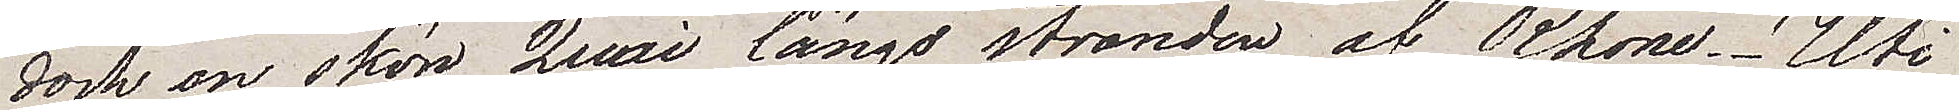dock en skön Quai längs stranden av Rhone. Uti
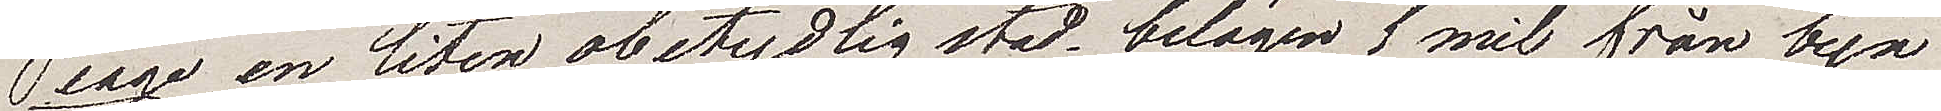Peage en liten obetydlig stad belägen 1 mil från byn
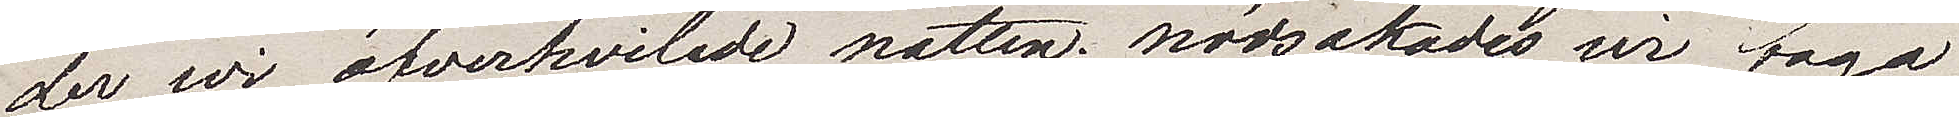der wi öfverhwilade natten, nödsakades vi taga
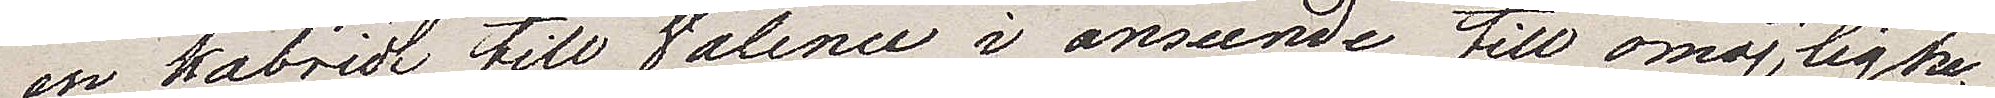en kabriol till Valence i anseende till omöjlighe¬
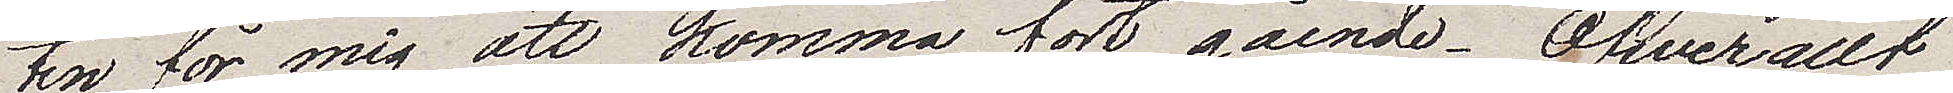ten för mig att komma fort gående. Öfverallt
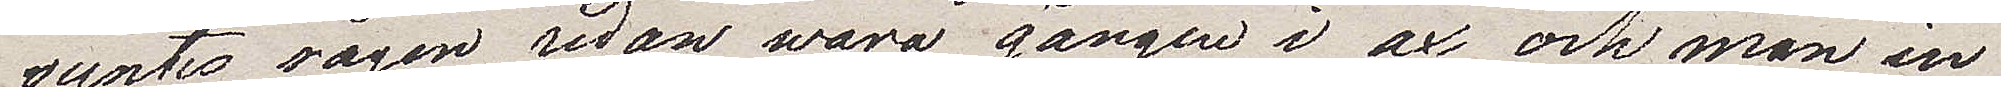syntes rågen redan wara gången i ax och man in¬
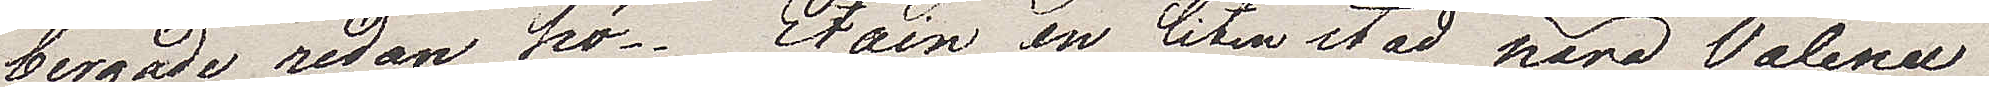bergade redan hö. Etain en liten stad nära Valence 
